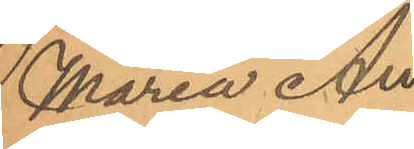Maria An¬
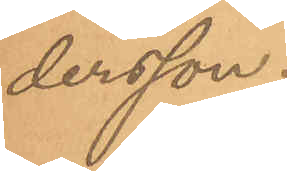dersson.
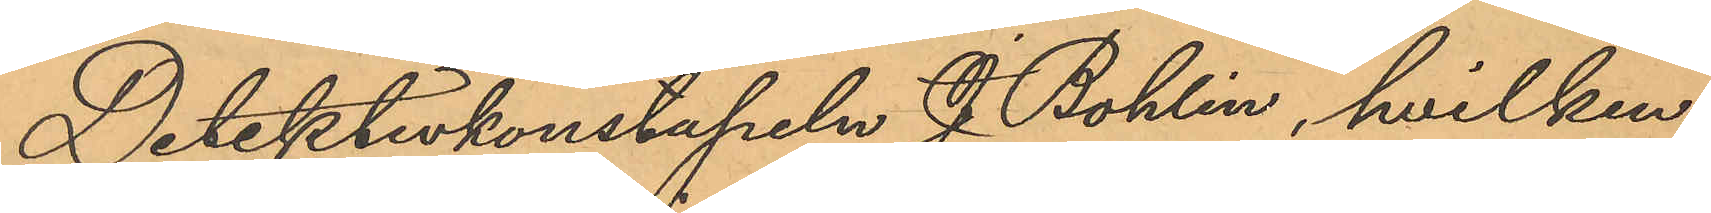Detektivkonstapeln J. Bohlin, hvilken
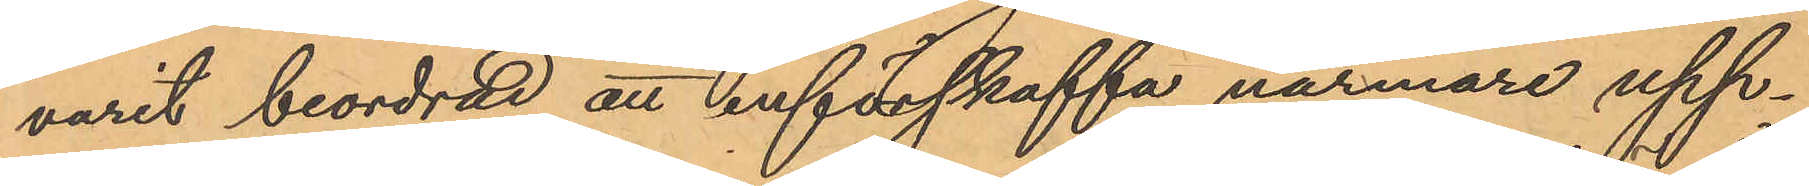varit beordrad att införskaffa närmare upp¬
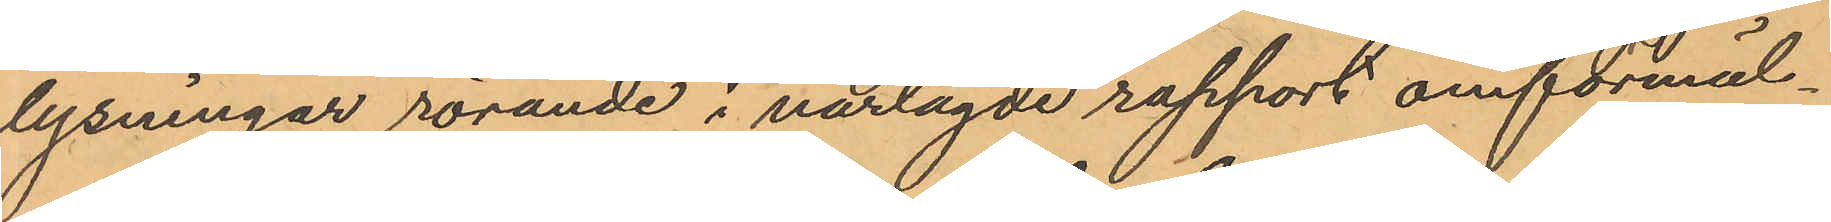lysningar rörande i närlagde rapport omförmäl¬
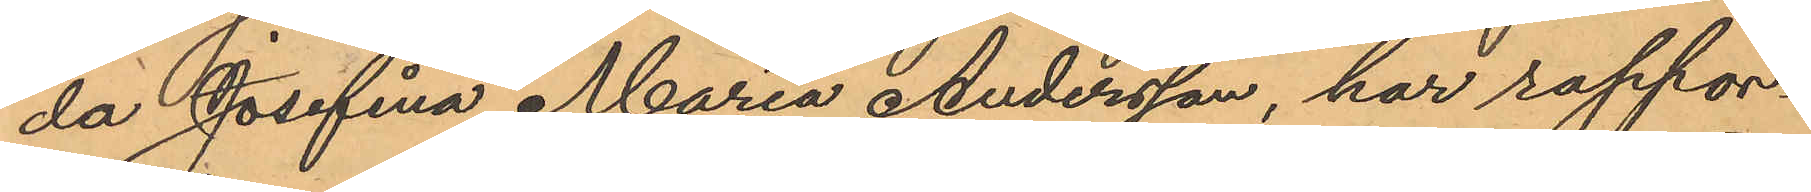da Josefina Maria Andersson, har rappor¬
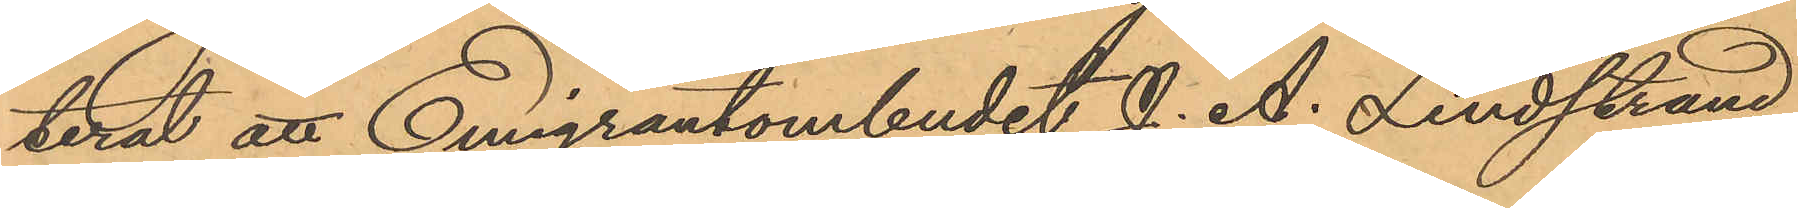terat att Emigrantombudet J. A. Lindstrand,
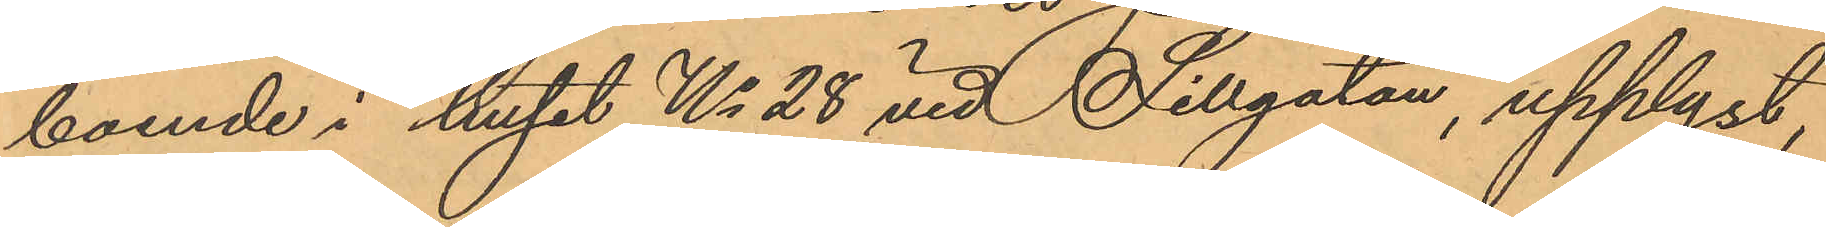boende i huset No 28 vid Sillgatan, upplyst,
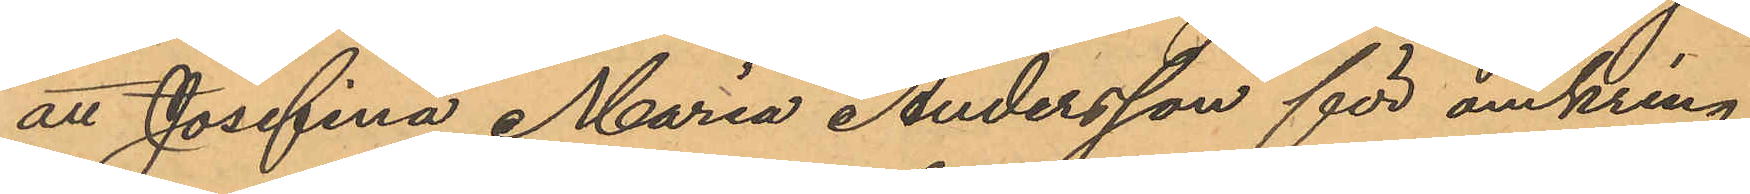att Josefina Maria Andersson för omkring
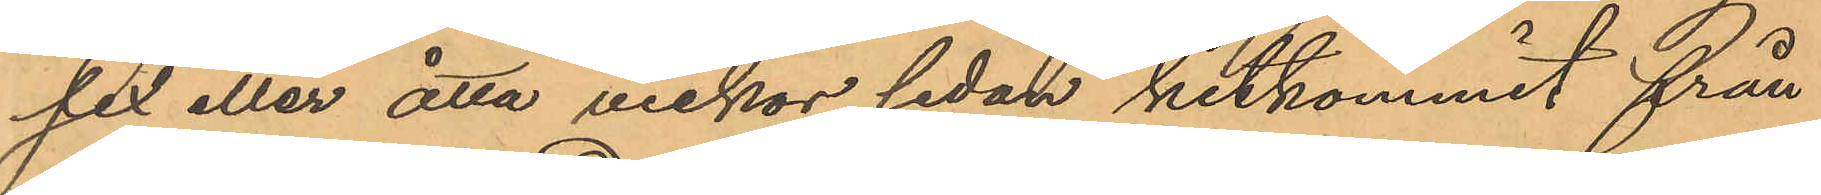sex eller åtta veckor sedan hitkommit från
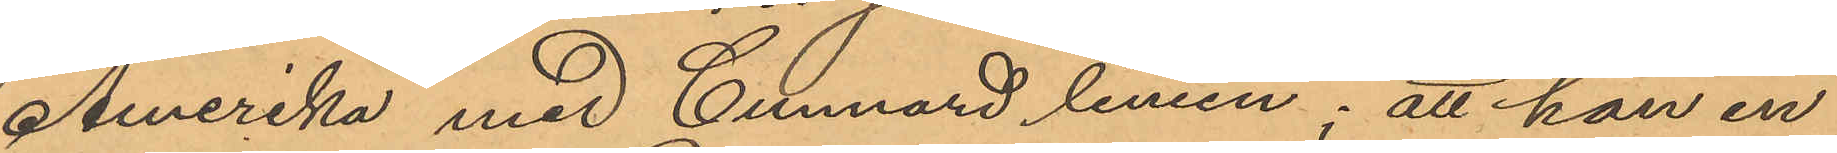Amerika med Cunnard linien; att hon en
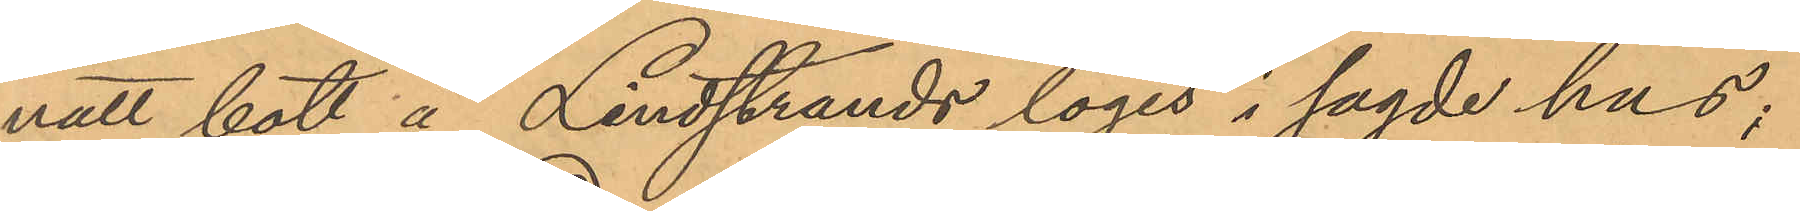natt bott å Lindstrands logis i sagde hus;
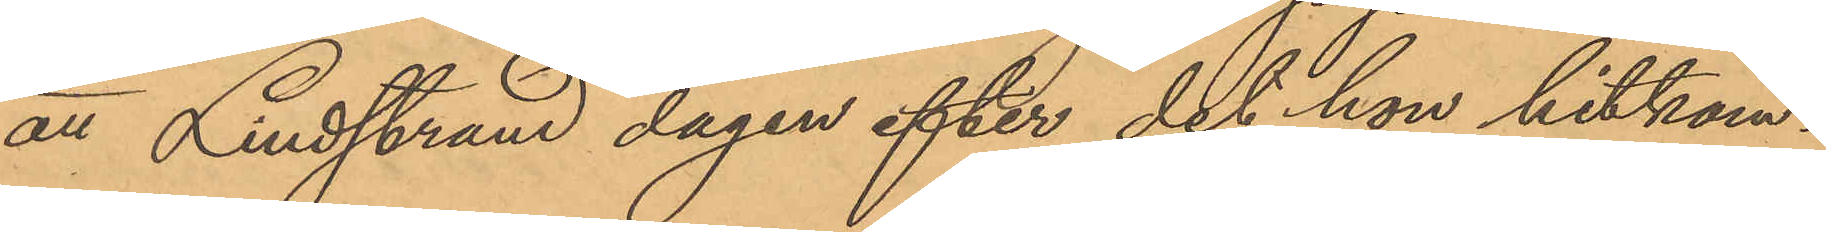att Lindstrand dagen efter det hon hitkom¬
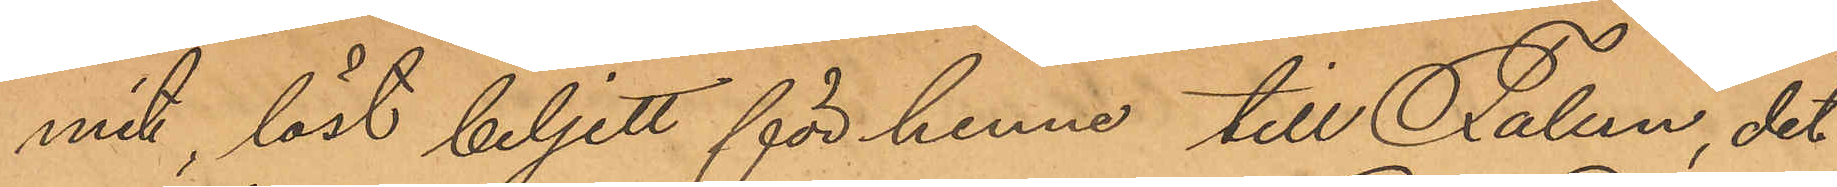mit, låst biljett för henne till Falun, dit
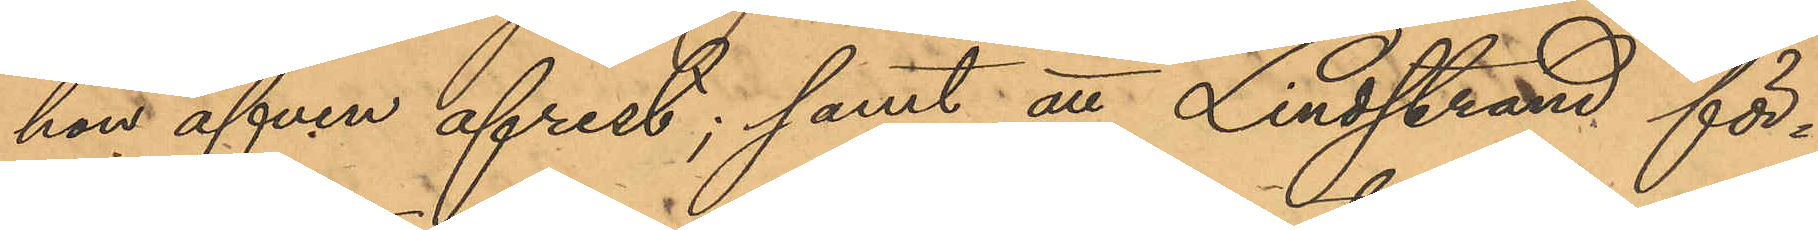hon äfven afrest; samt att Lindstrand för¬
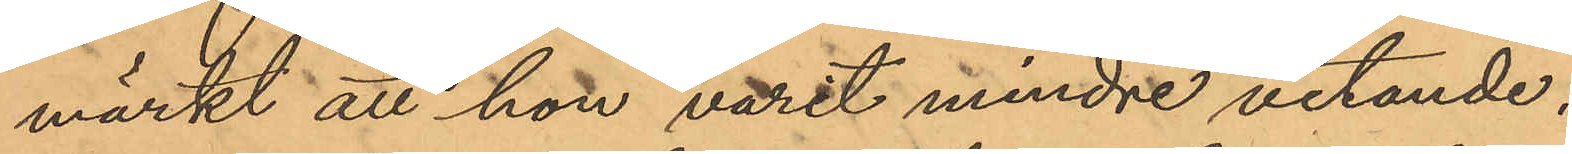märkt att hon varit mindre vetande.
